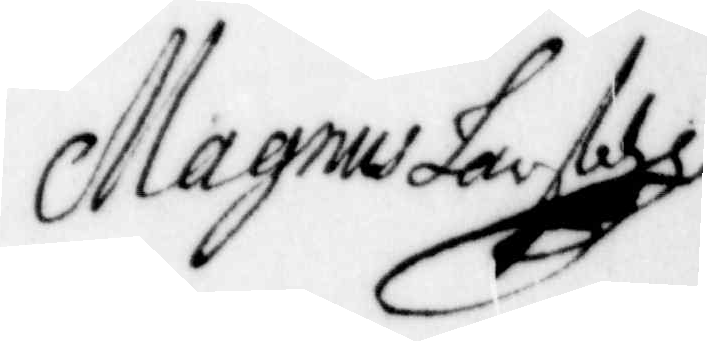Magnus larsson
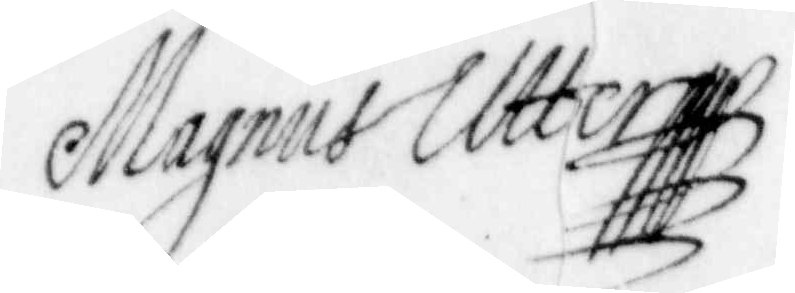Magnus Utter
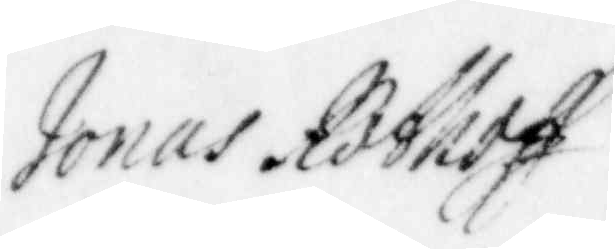Jonas Rothoff
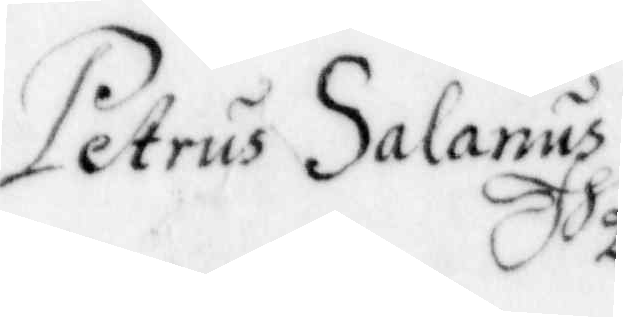Petrus Salanus
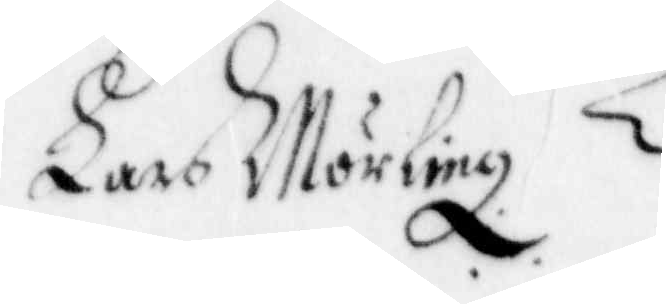Lars Mörling
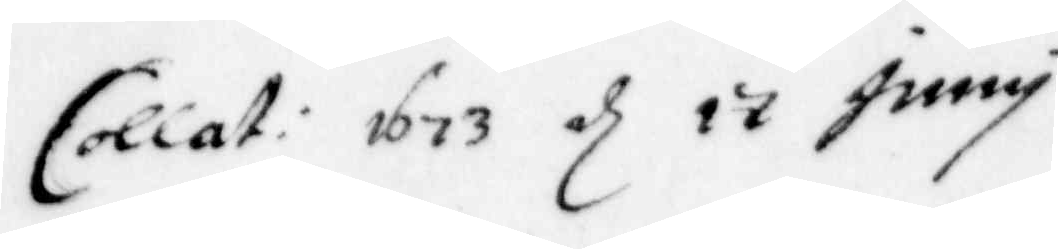Collat: 1673 d 17 juny
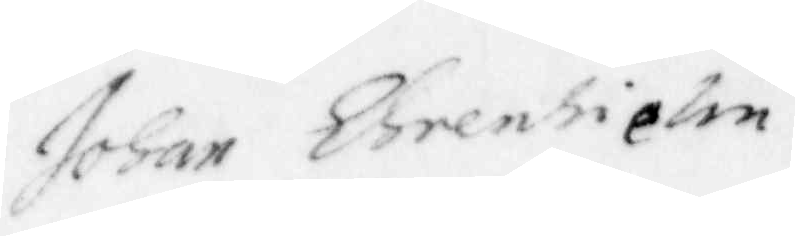Johan Ehrenhielm
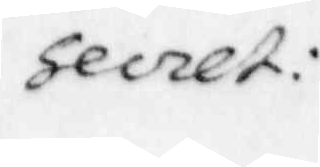secret:
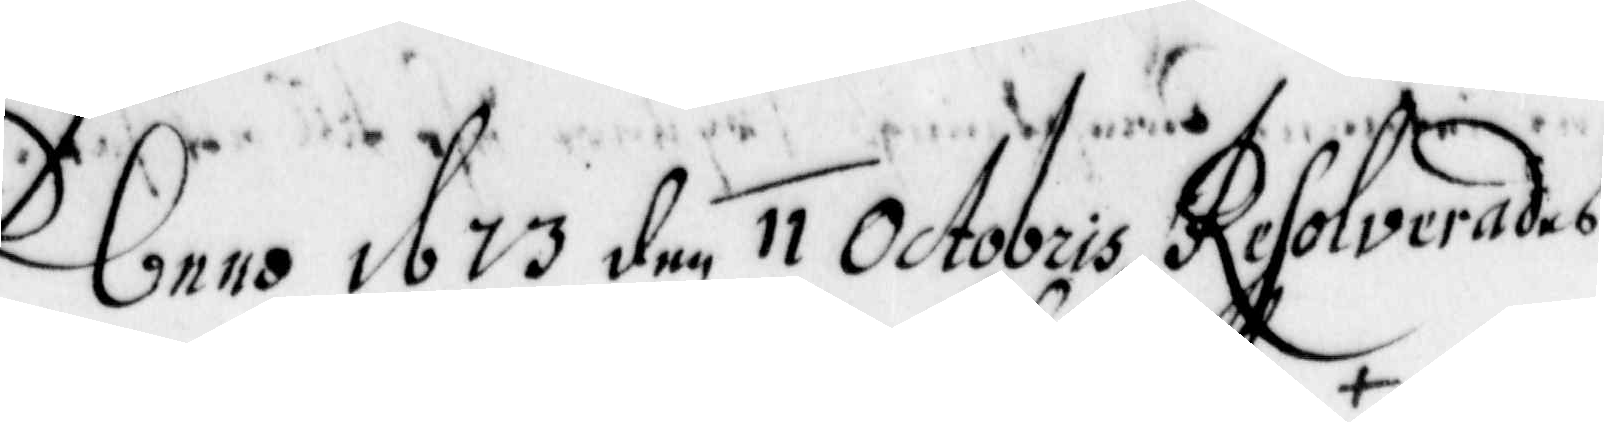Anno 1673 den 11 Octobris resolverades
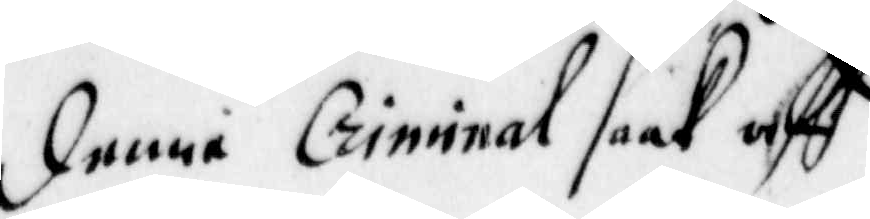denne Criminal Saak aff
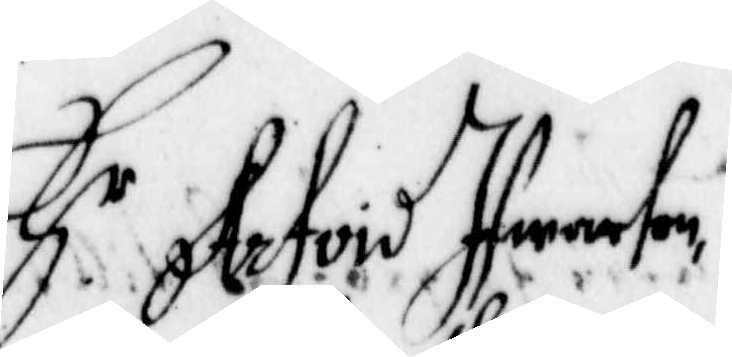H r Arfvid Ifwarson,
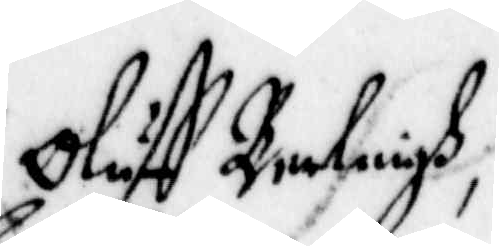Oluff Berlingh,
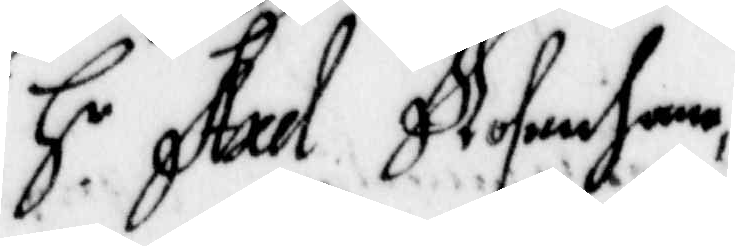H r Axel Rosenhane,
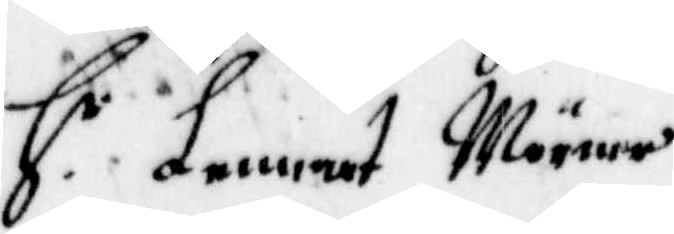Lennart Mörner
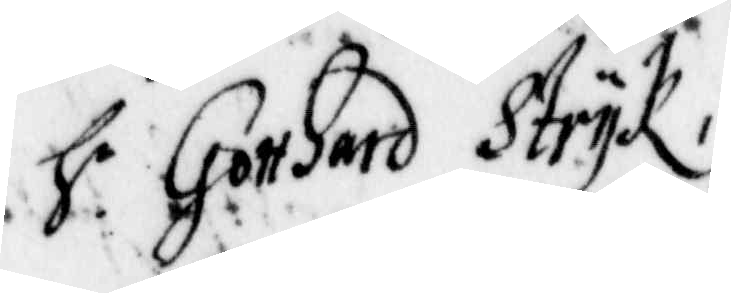H r Gotthard Strÿk,
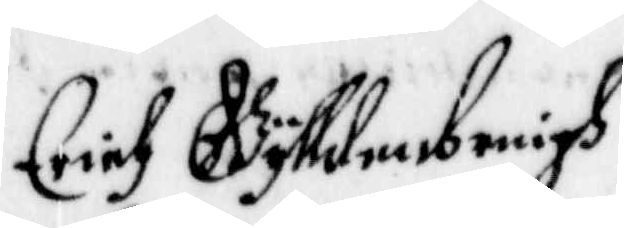Erich Gylldenbringh
